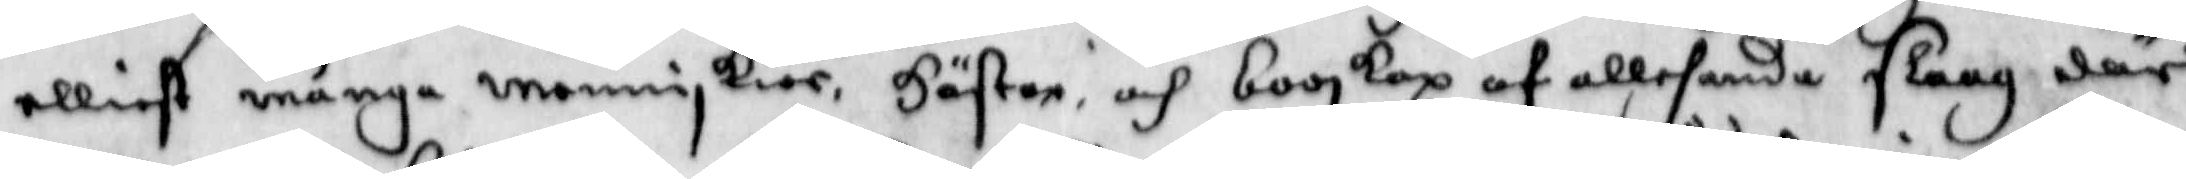elliest många menniskior, hästar och booskap af allehanda slaag där
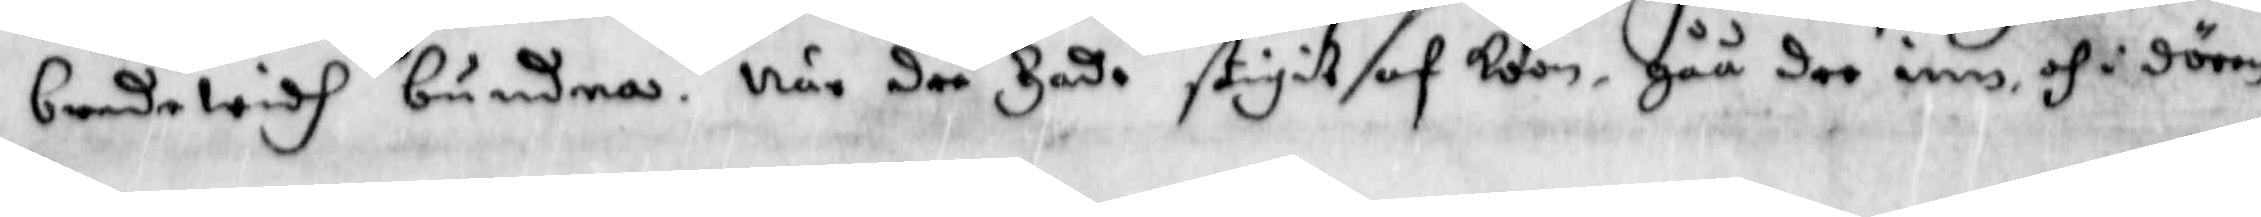banda widh bundnas. När dee hade stigit af koon, gåå dee inn och i dörren
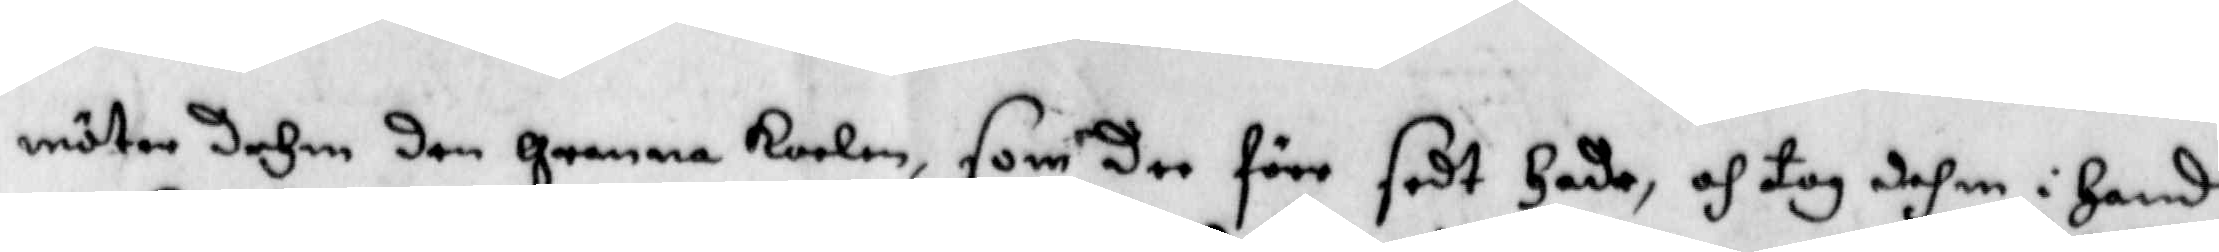möter dehm den granna karlen, som dee förr sedt hade, och tog dhem i hand
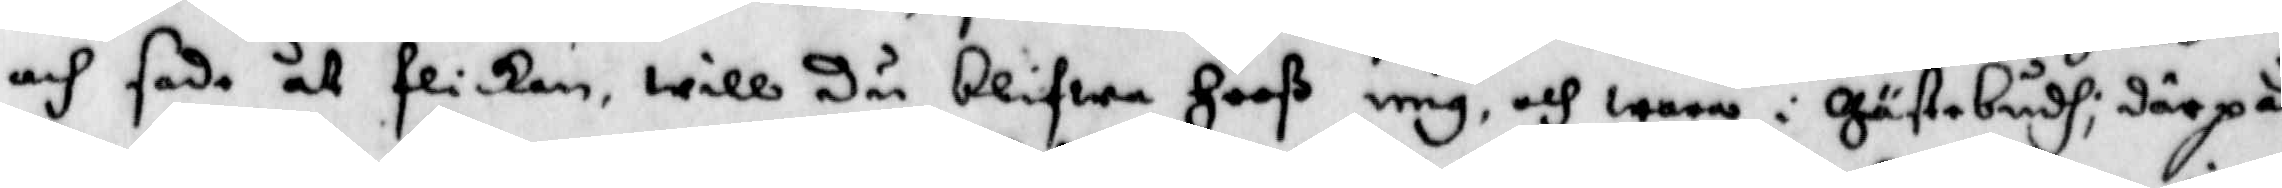och sade åt flickan will Du blifwa hooß mig, och wara i Gästebudh; därpå
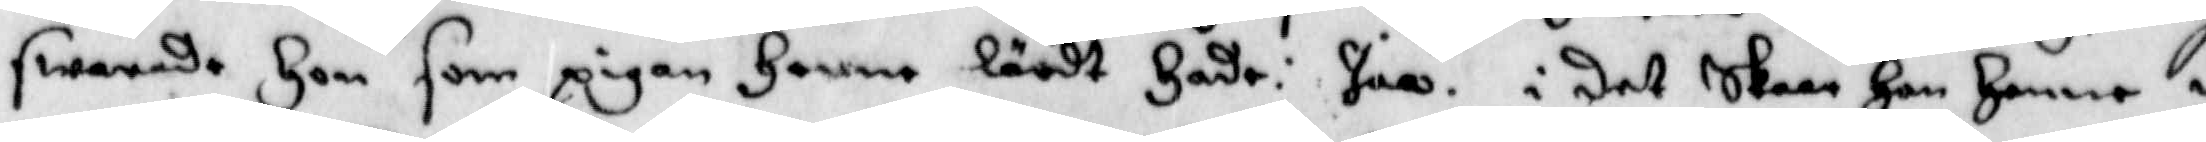swarade hon som pigan henne lärdt hade: Jaa. i det skaar han henne i
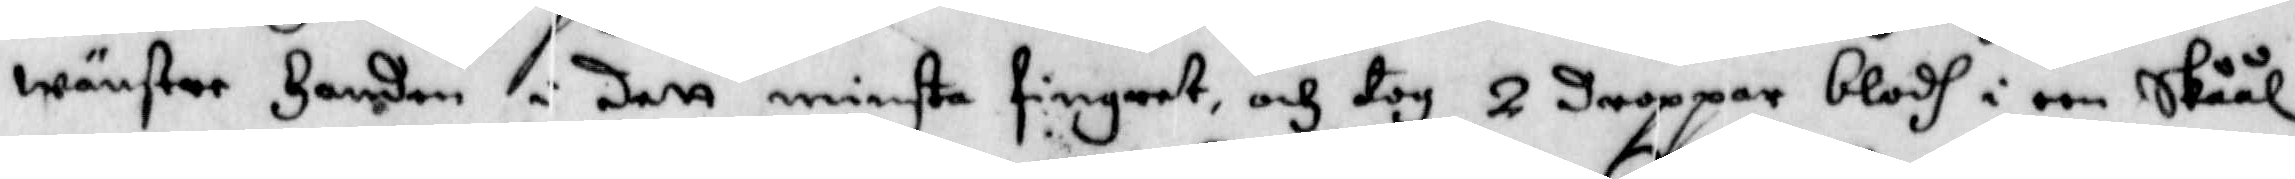wänster handen i dett minsta fingret, och tog 2 droppar blodh i een skåål 
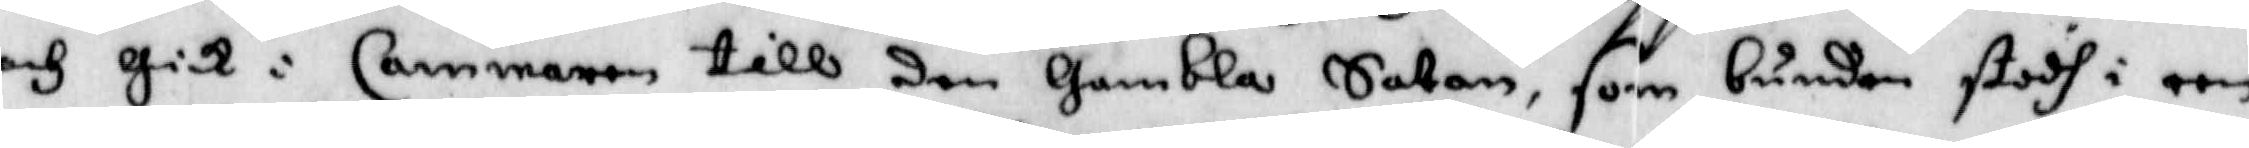och gick i Cammaren till den Gambla Satan, som bunden stodh i een
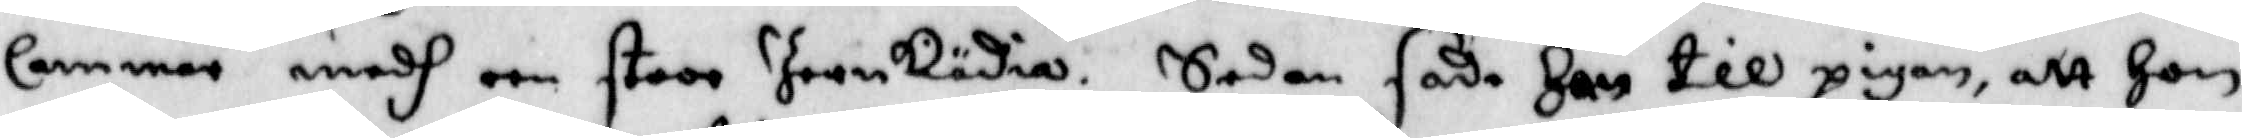Cammar medh een stoor Jernkädia. Sedan sade han till pigan att hon
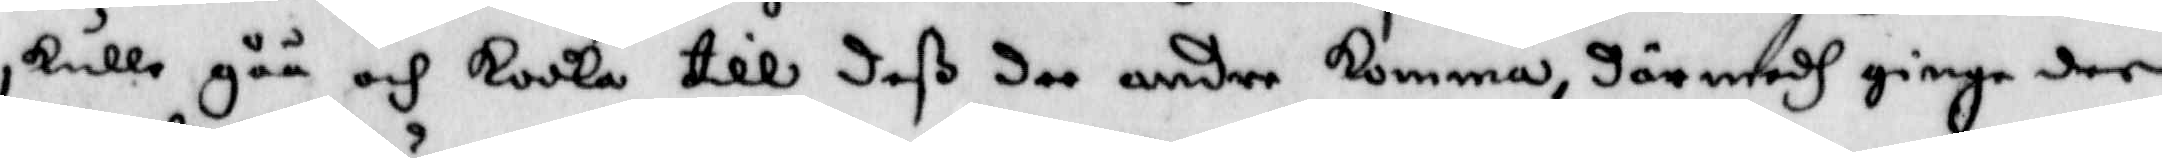skulle gåå och kooka till deß dee andre komma, där medh gingo dee
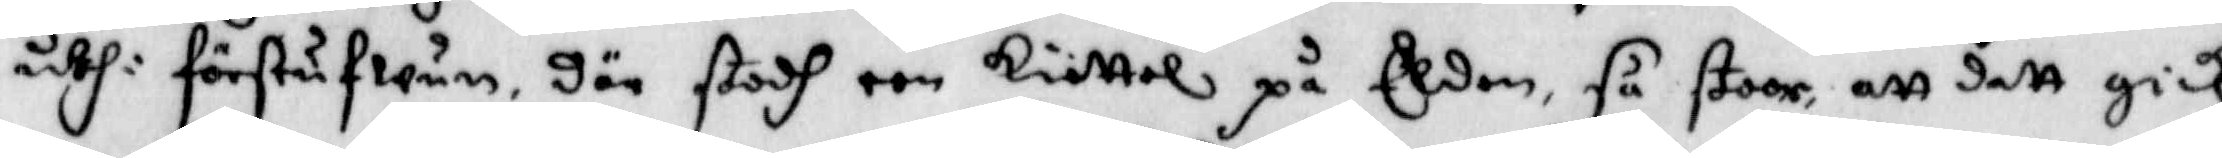uthi förstufwun, där stodh een kiettel på Elden, så stoor, att dett gick
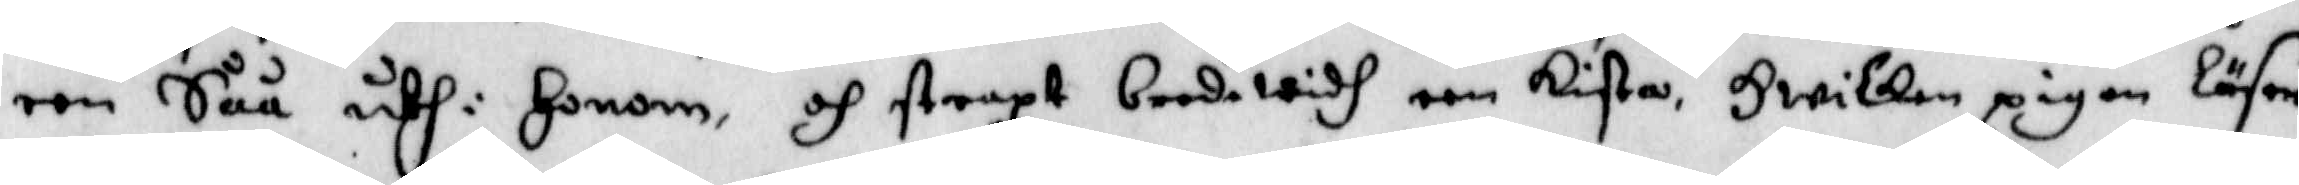een Såå uthi honom, och straxt bredewidh een kista, hwilken pigan läser
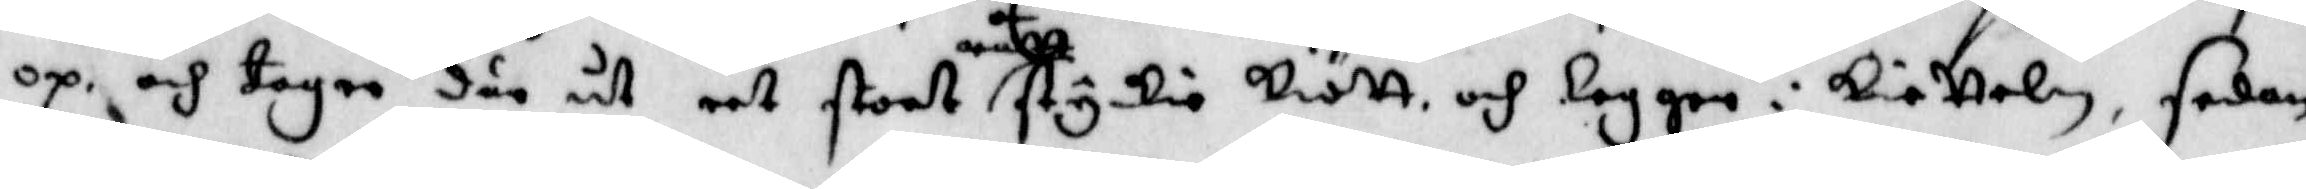op och tager där ut eet stort rått styckio kiött och legger i kietteln, sedan
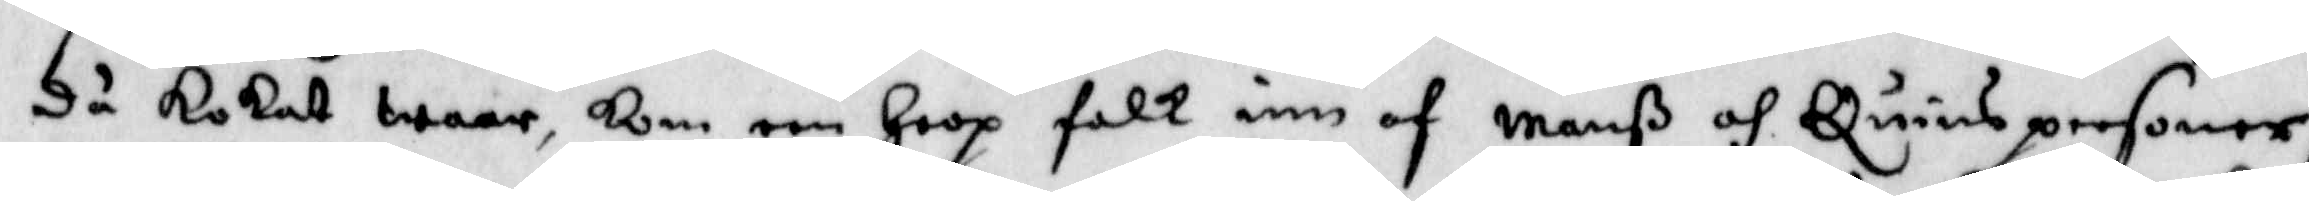då kokat waar, kom een hoop folk inn af manß och Quinspersoner;
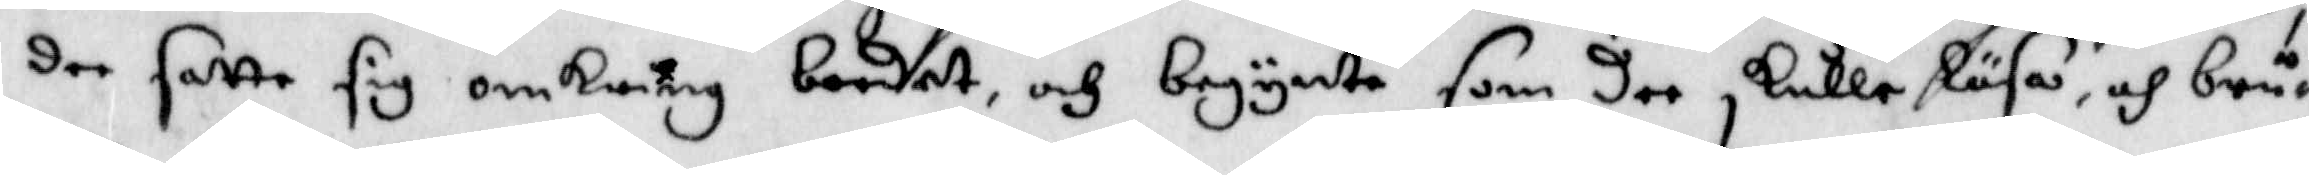dee satte sig omkring bordet, och begynte som dee skulle läsa, och bruk¬
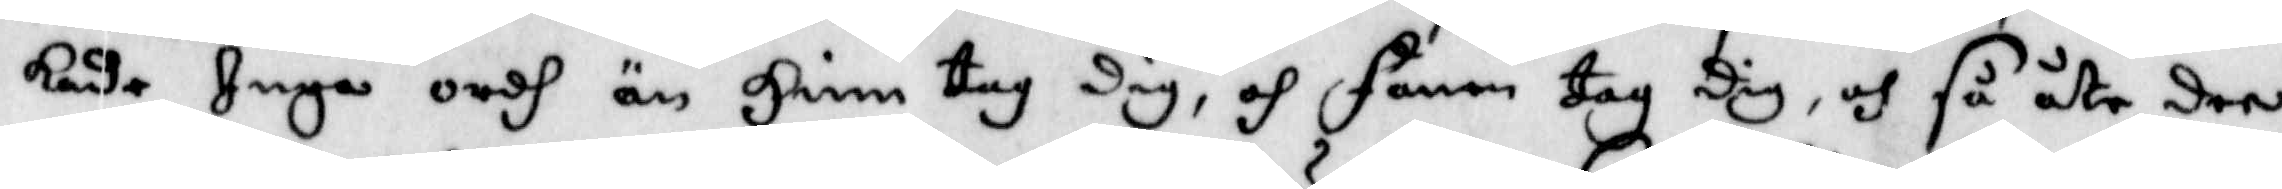kade Inga ordh än Himm tag Dig, och fanen tag Dig, och så åte dee
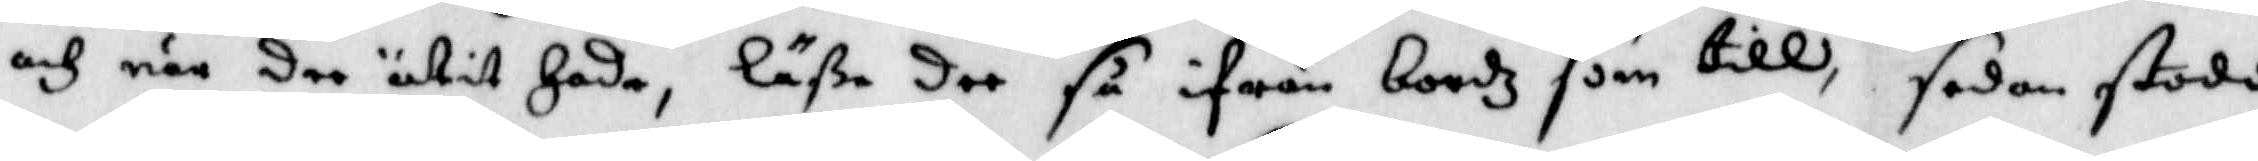och när dee ätit hade, läße dee så ifrån bordz som till, sedan stodo
